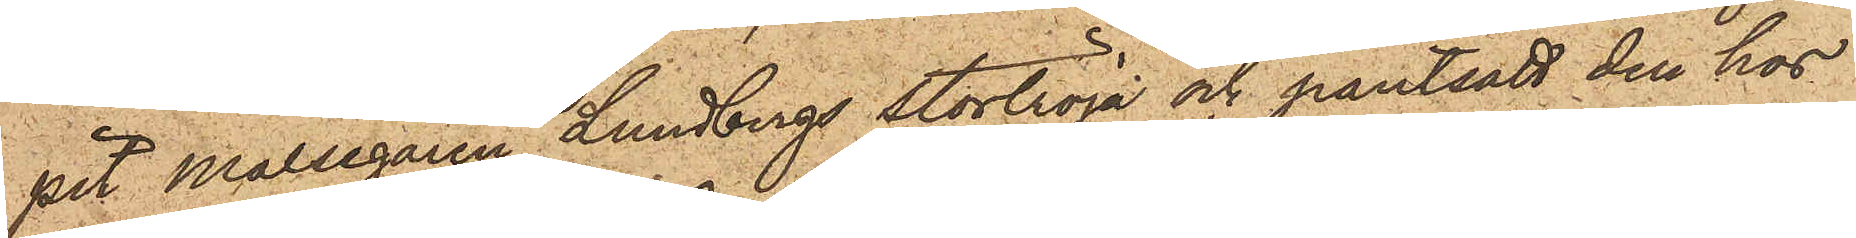pit målsegaren Lundbergs stortröja och pantsatt den hos
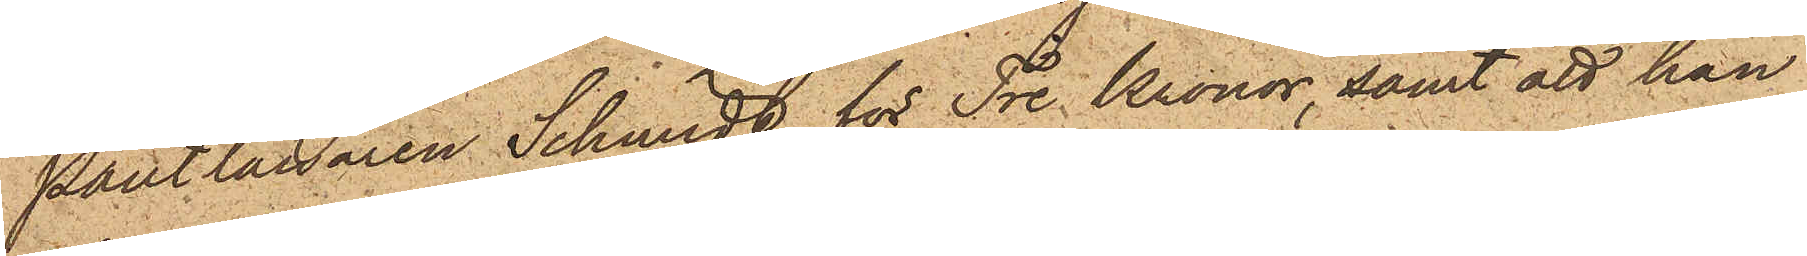Pantlånaren Schmidt för Tre Kronor, samt att han
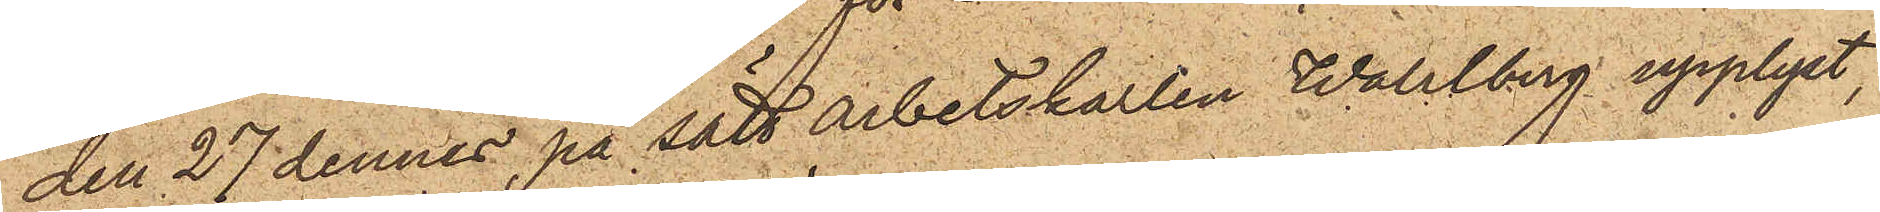den 27 dennes, på sätt arbetskarlen Wahlberg upplyst,
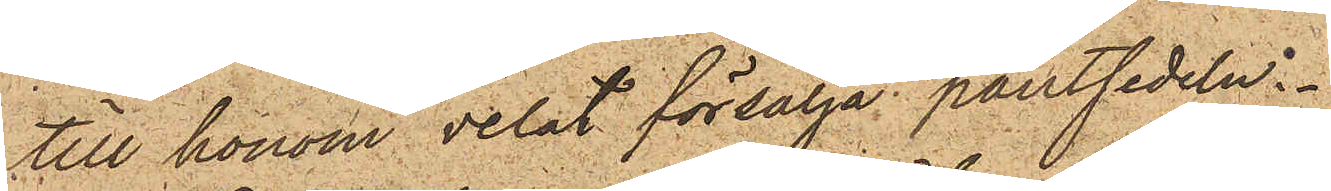till honom velat försälja pantsedeln.
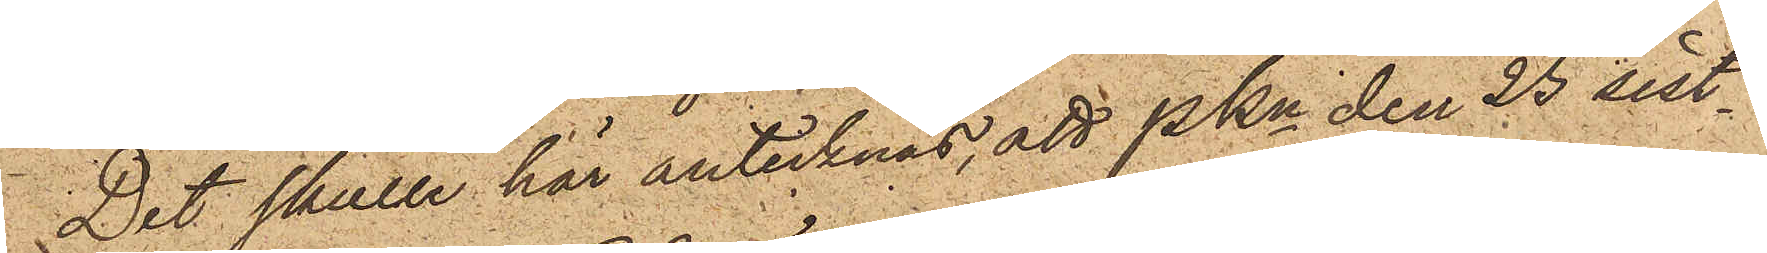Det skulle här antecknas, att PKn den 25 sist¬
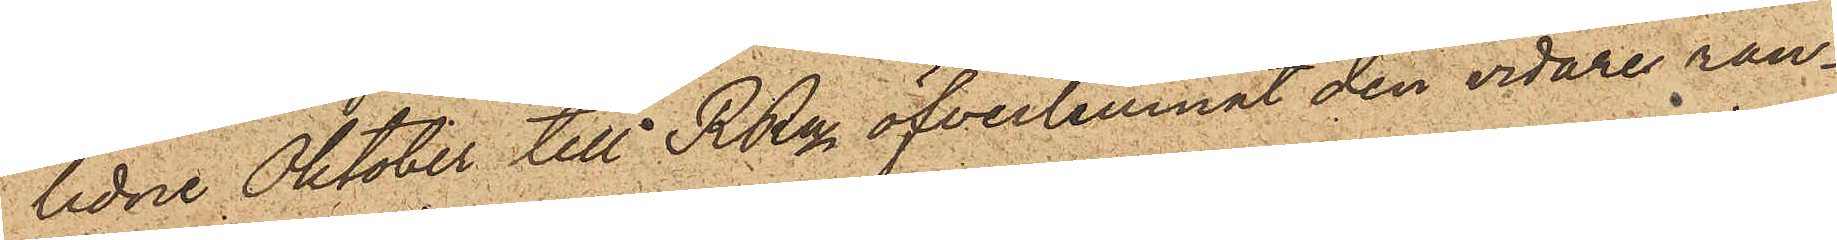lidne Oktober till RRn öfverlemnat den vidare ran¬
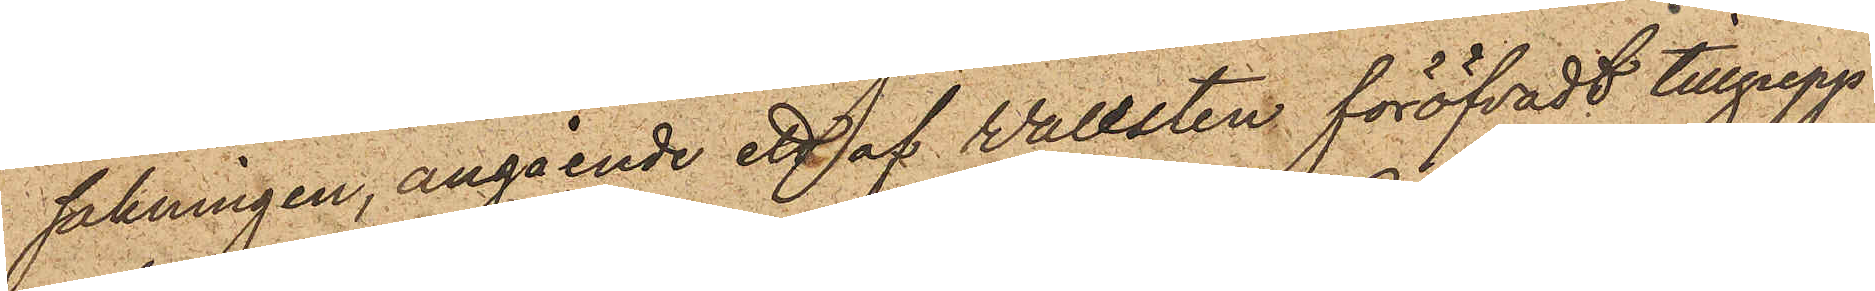sakningen, angående ett af Wallsten föröfvadt tillgrepp
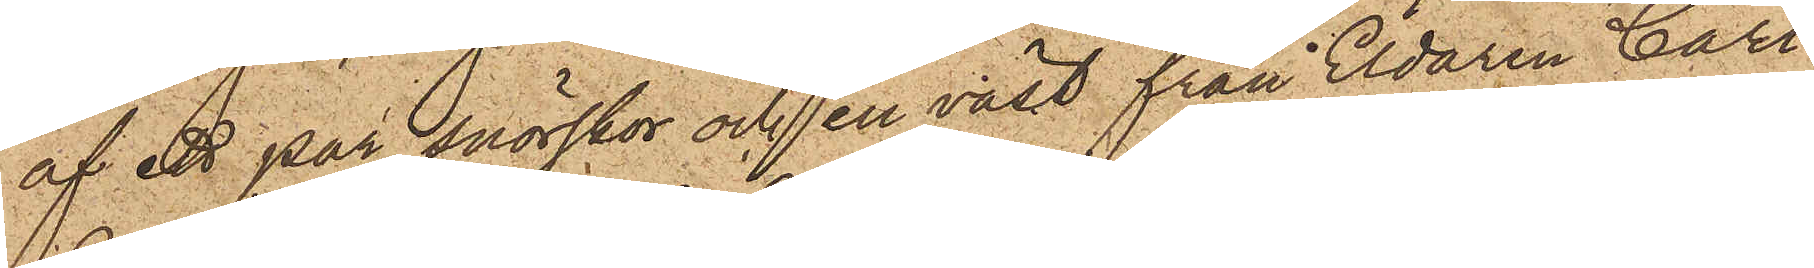af ett par snörskor och en väst från Eldaren Carl
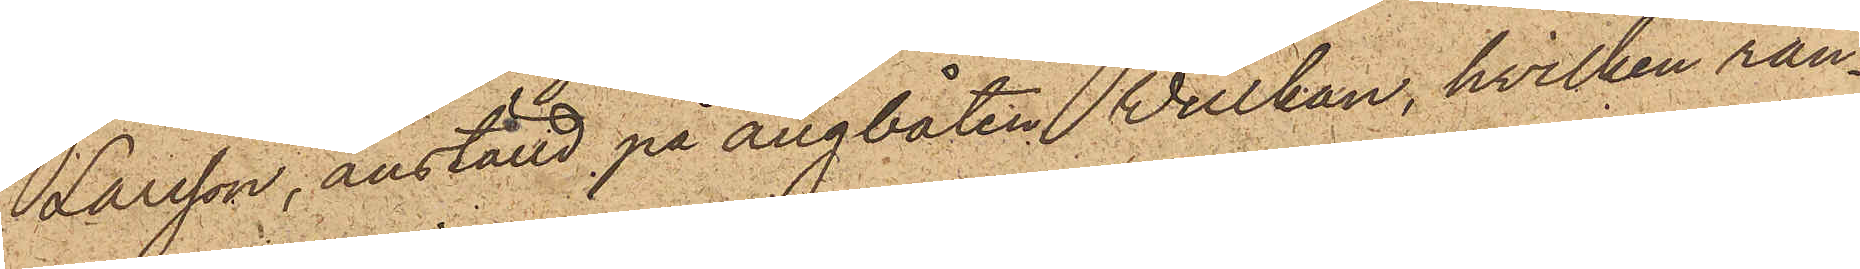Larsson, anställd på ångbåten Wulkan, hvilken ran¬
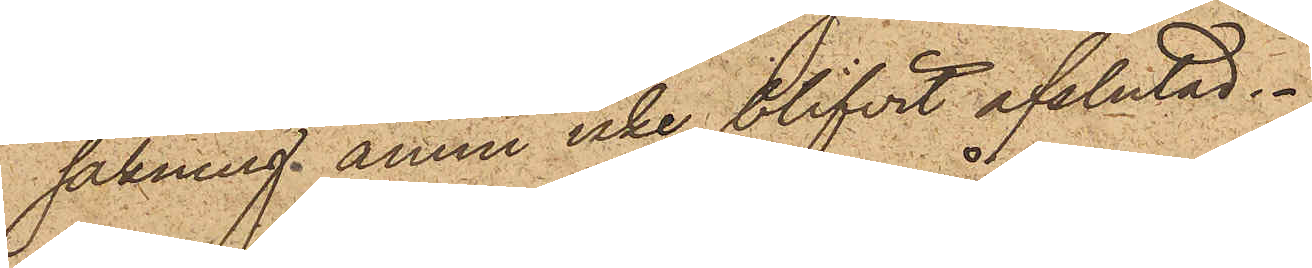sakning ännu icke blifvit afslutad.
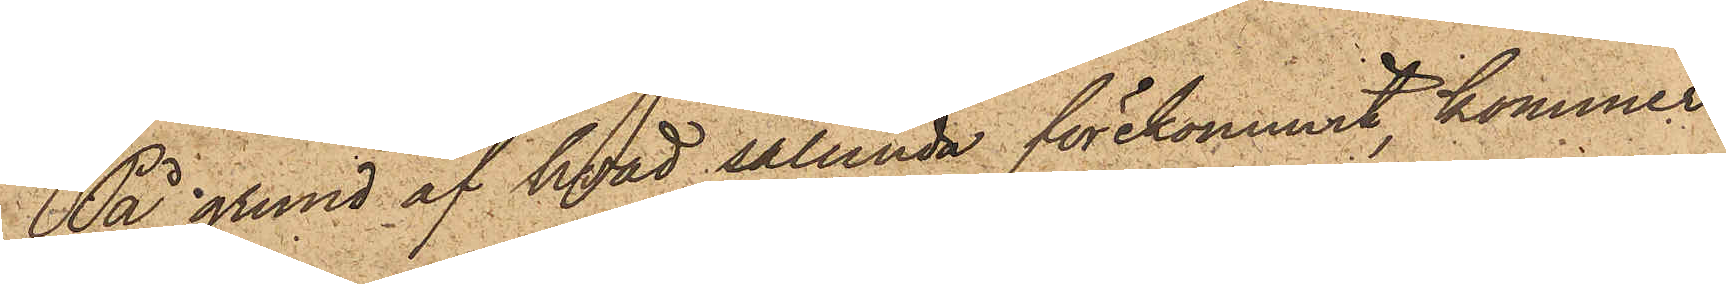På grund af hvad sålunda förekommit, kommer
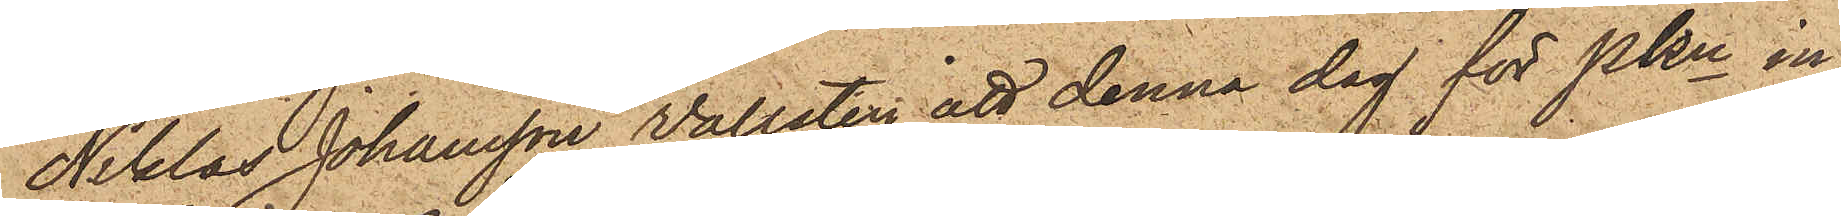Niklas Johansson Vallsten att denna dag för PKn in¬
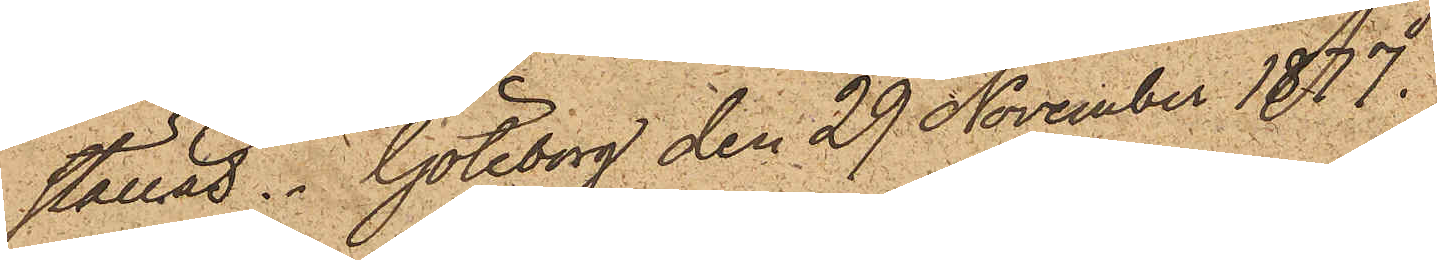ställas. Göteborg den 29 November 1877.
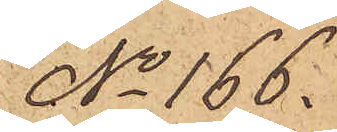No 166.
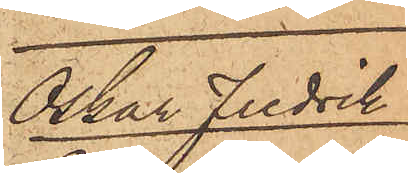Oskar Fredrik
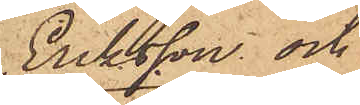Eriksson och
